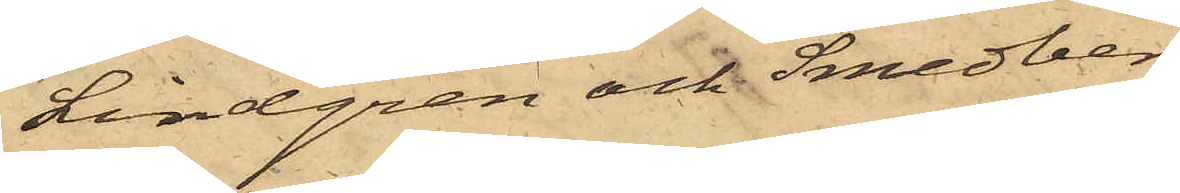Lindgren och Smedberg
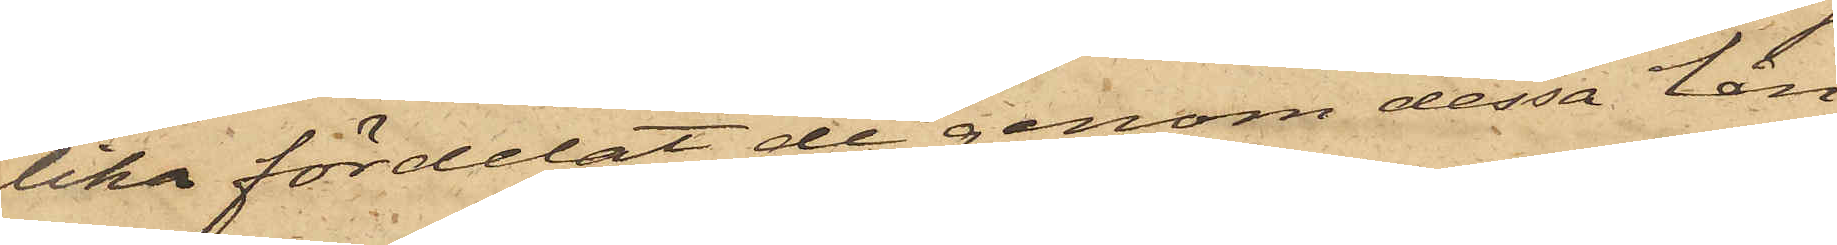lika fördelat de genom dessa lån
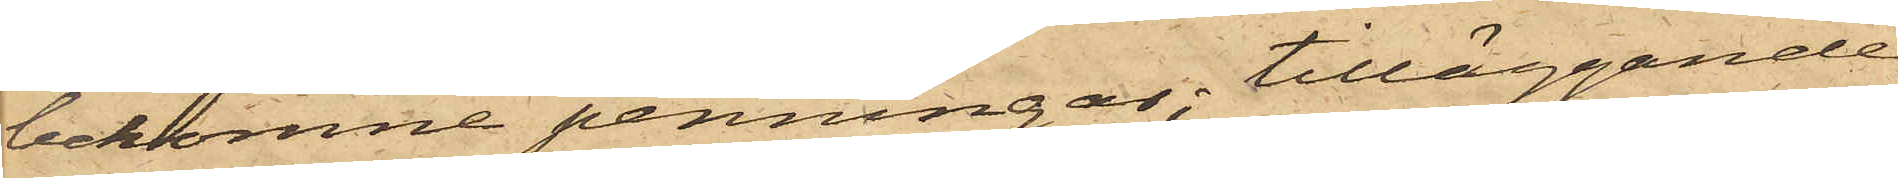bekomne penningar, tilläggande
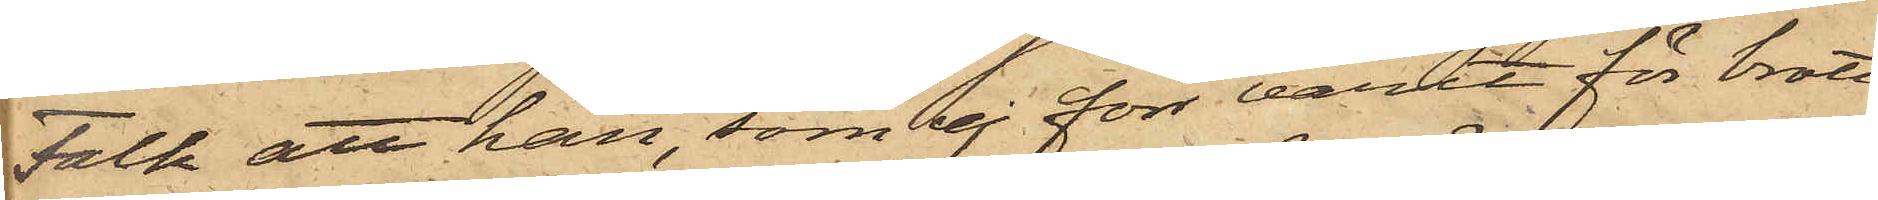Falk att han, som ej förr varit för brott
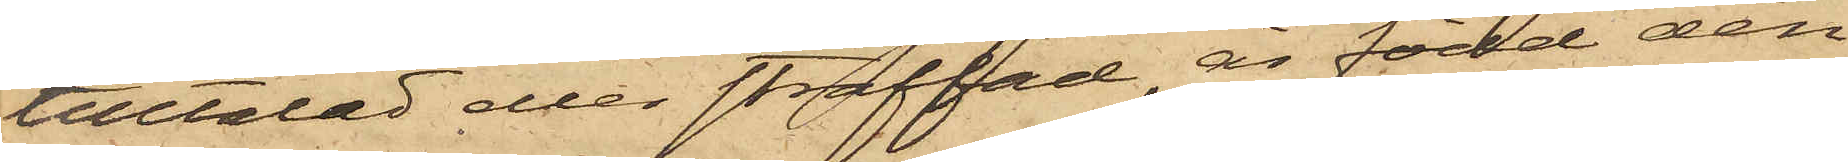tilltalad eller straffad, är född den
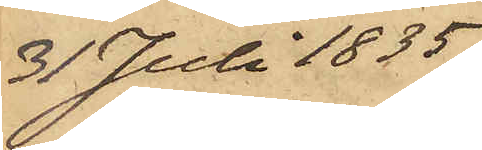31 Juli 1835
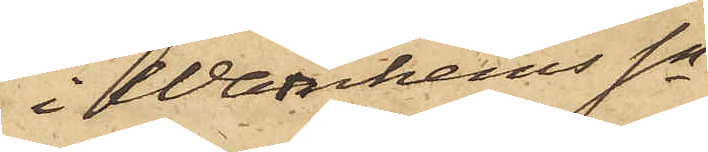i Warnhems Sn
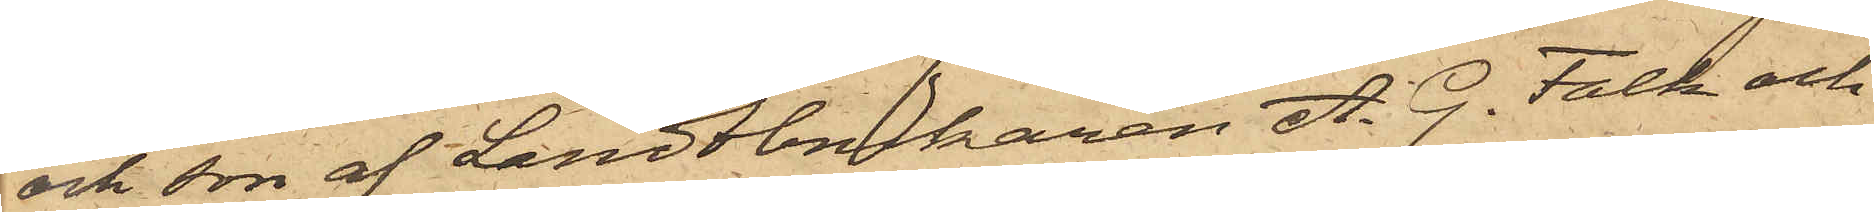och son af Landtbukaren A. G. Falk och
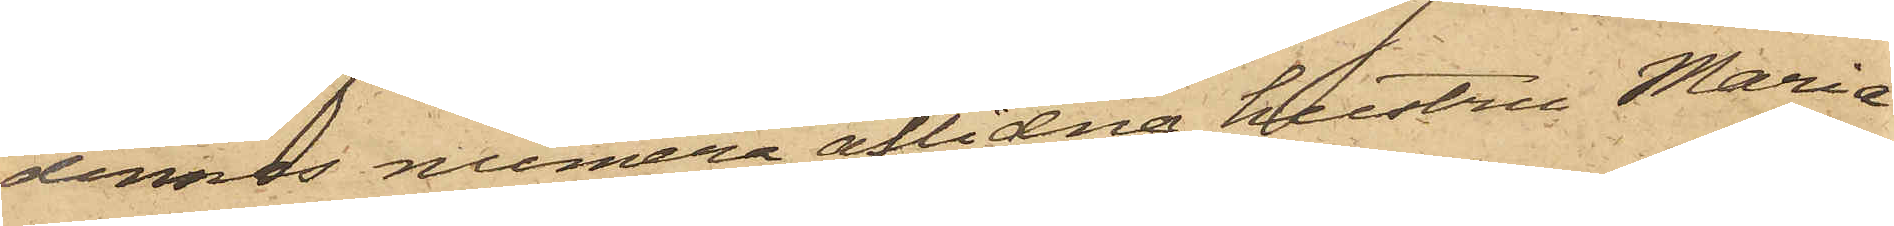dennes numera aflidna hustru Maria
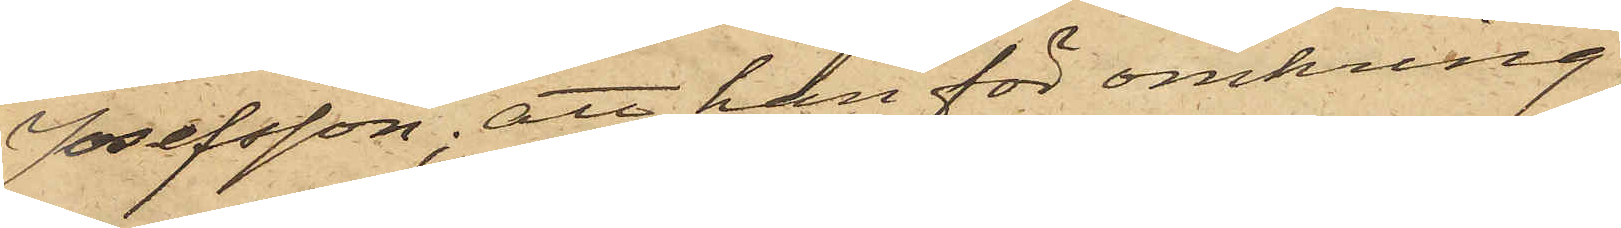Josefsson, att han för omkring
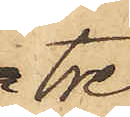tre
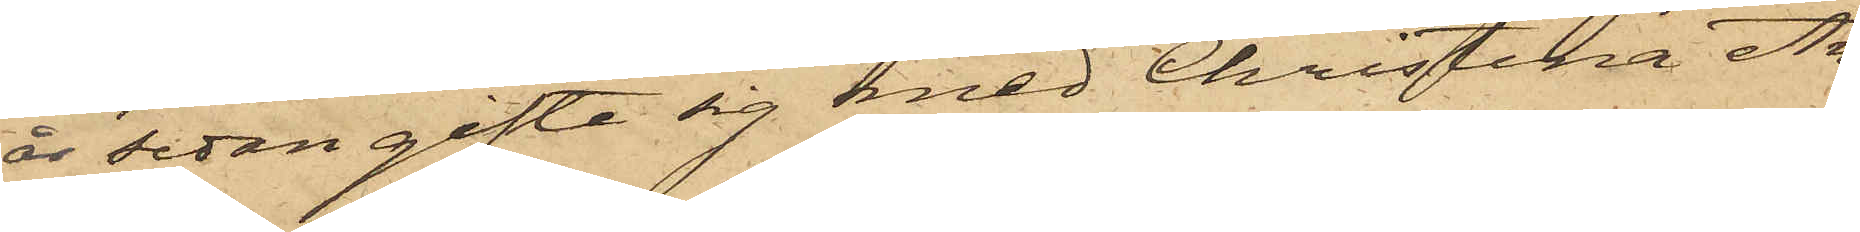år sedan gifte sig med Christina An¬
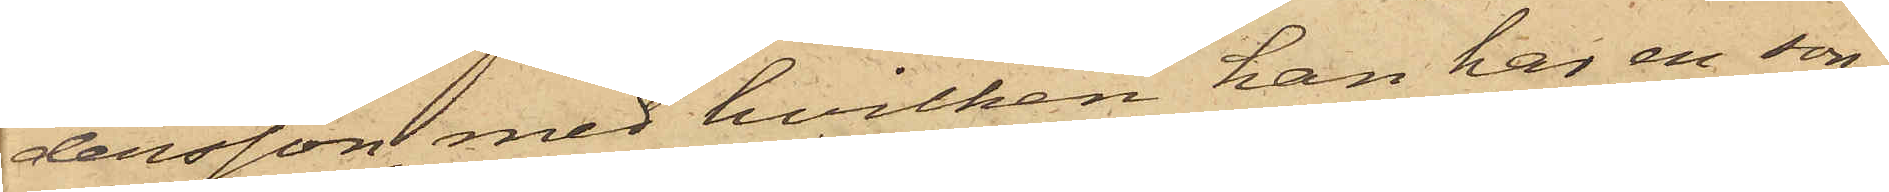dersson, med hvilken han har en son;
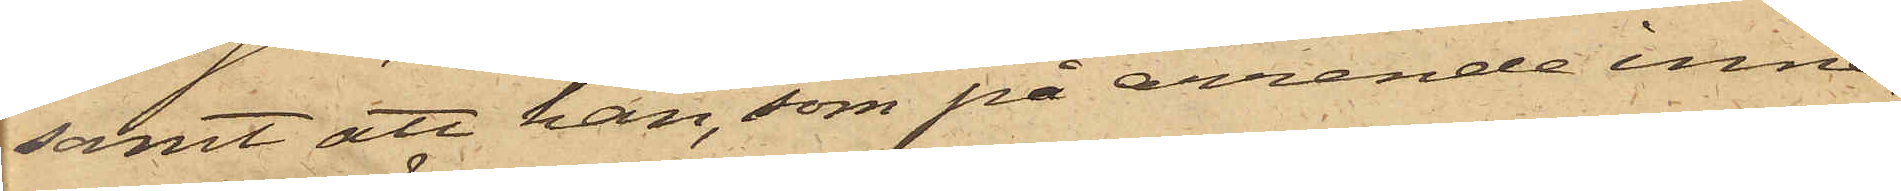samt att han, som på arrende inne¬
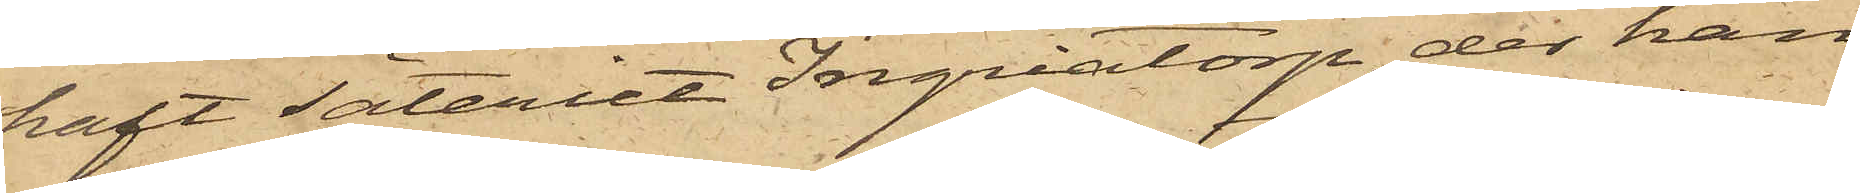haft säteriet Ingriatorp, der han
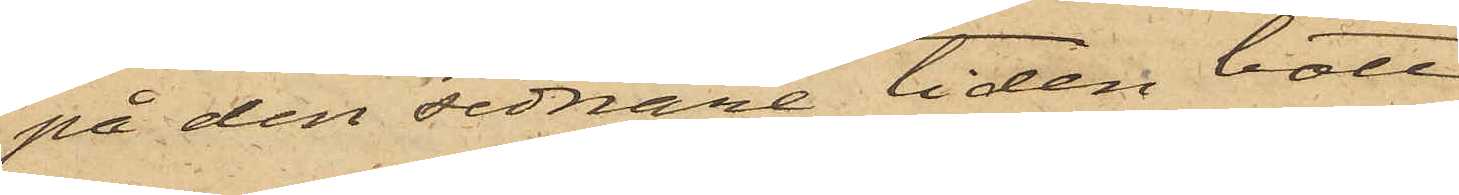på den sednare tiden bott,
